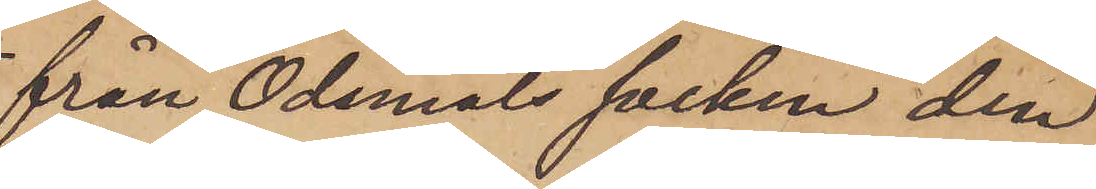från Ödsmåls socken den
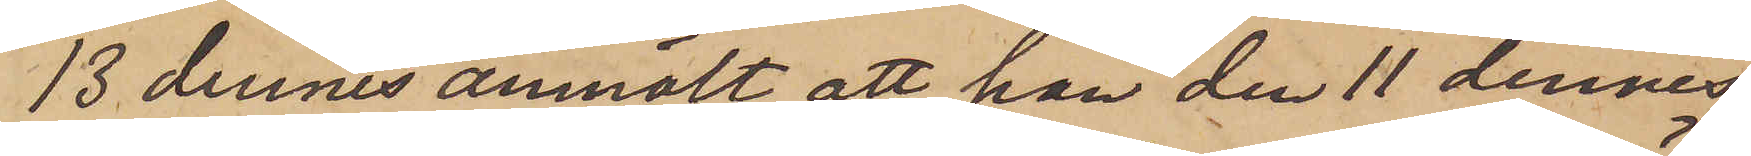13 dennes anmält, att han den 11 dennes
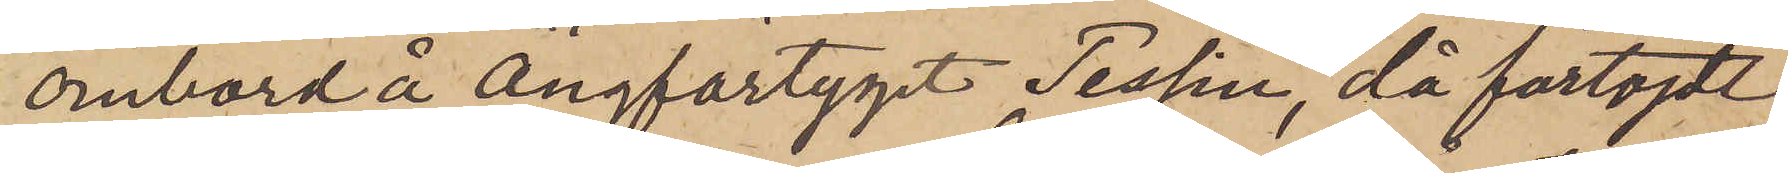ombord å ångfartyget Tessin, då förtöjdt
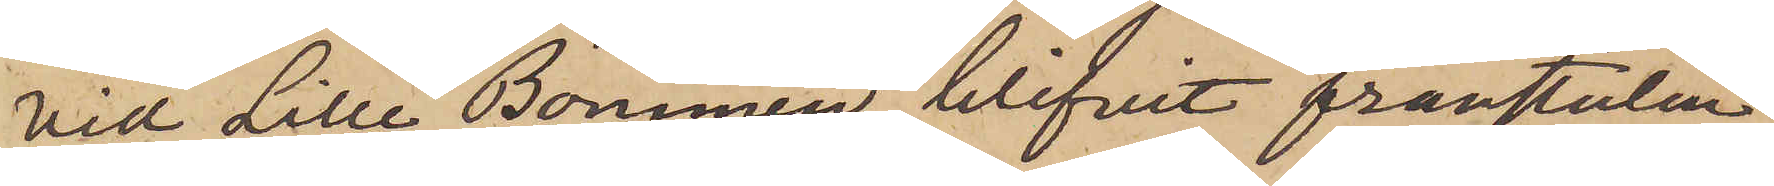vid Lilla Bommen, blifvit frånstulen
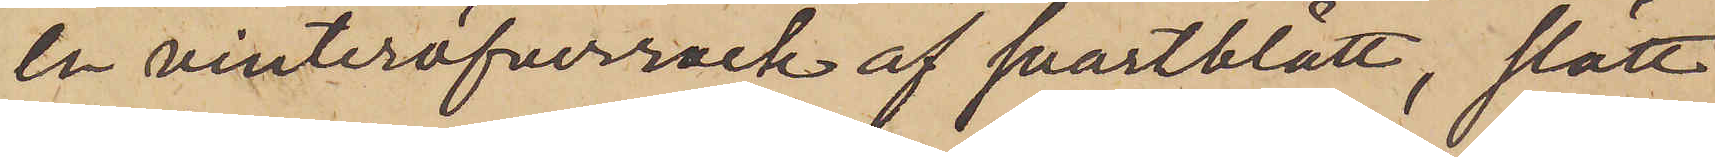en vinteröfverrock af svartblått, slätt
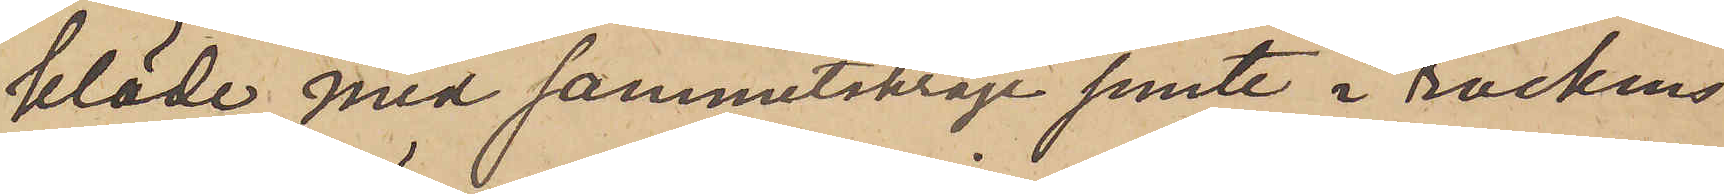kläde med sammetskrage jemte i rockens
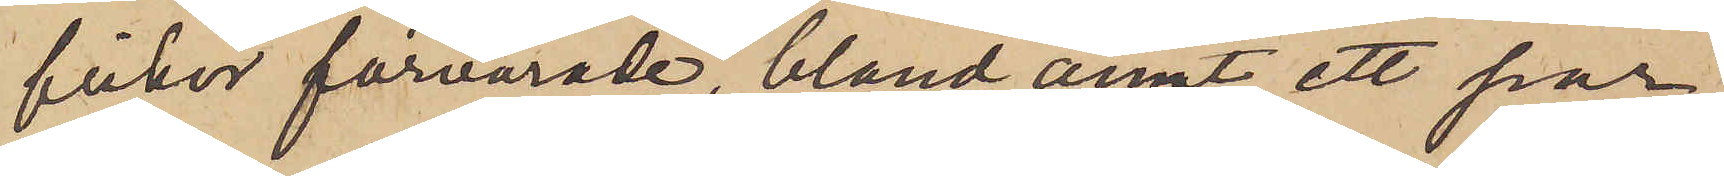fickor förvarade, bland annat, ett par
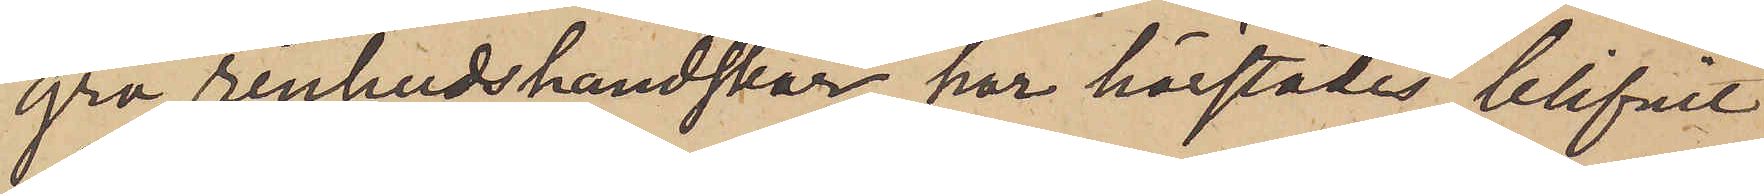grå renhudshandskar, har härstädes blifvit
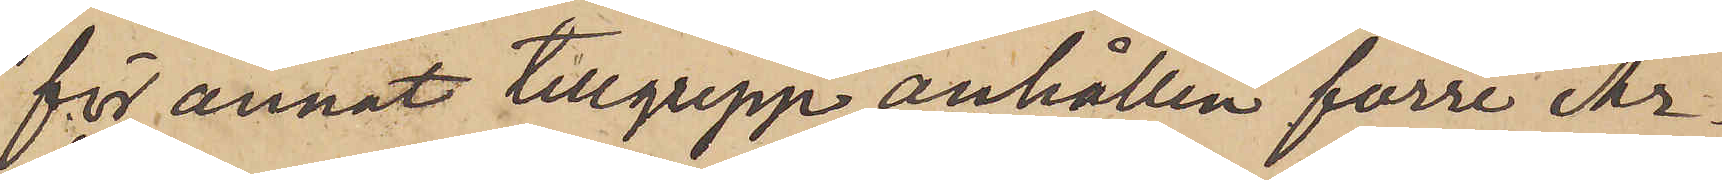för annat tillgrepp anhållen förre Ar¬
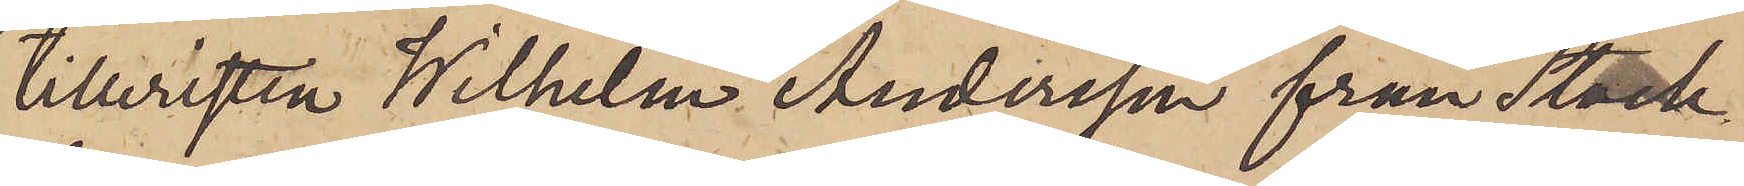tilleristen Wilhelm Andersson från Stock¬
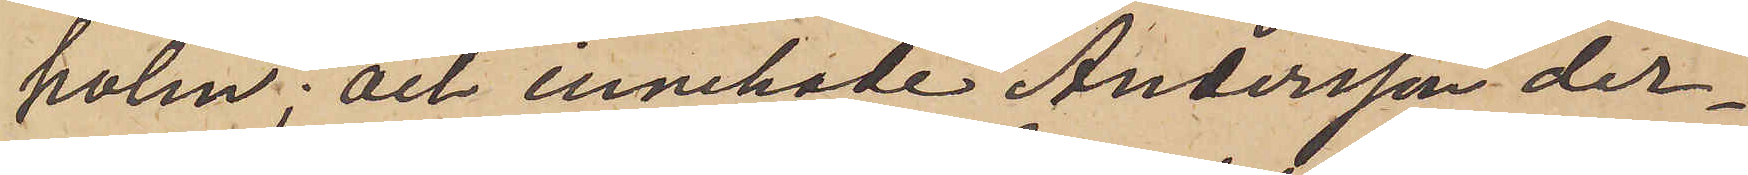holm; och innehade Andersson der¬
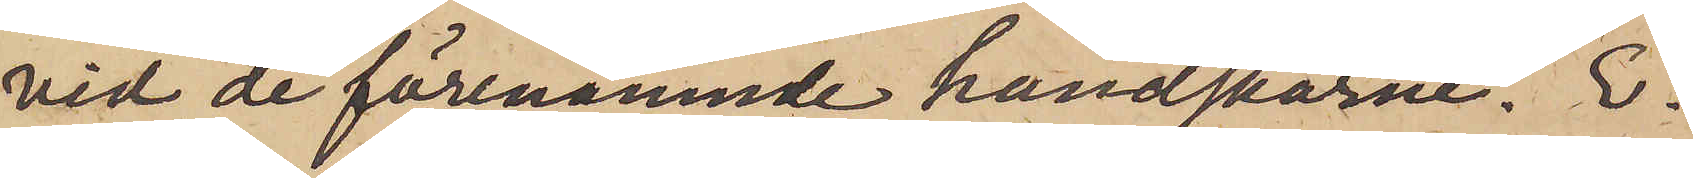vid de förenämnde handskarne. E¬
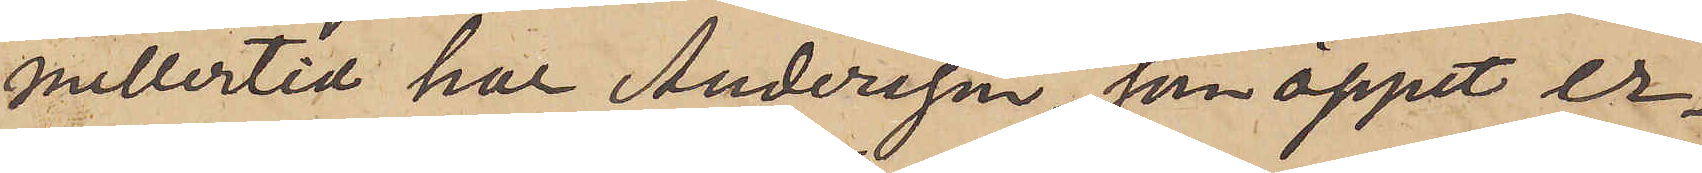mellertid har Andersson, som öppet er¬
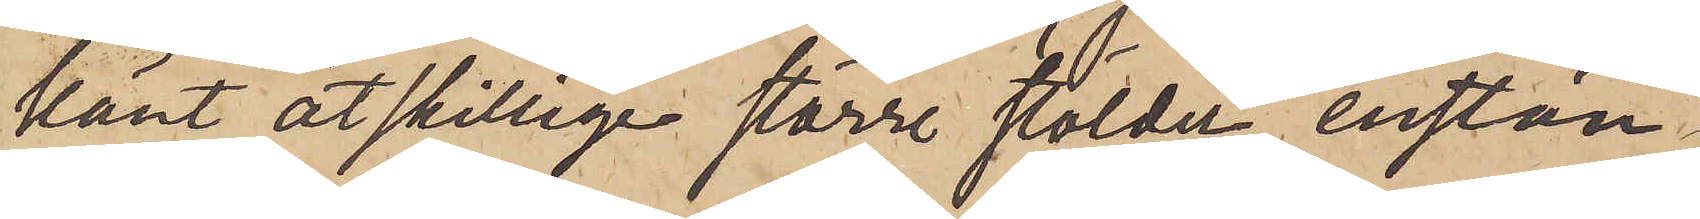känt åtskillige större stölder, enstän¬
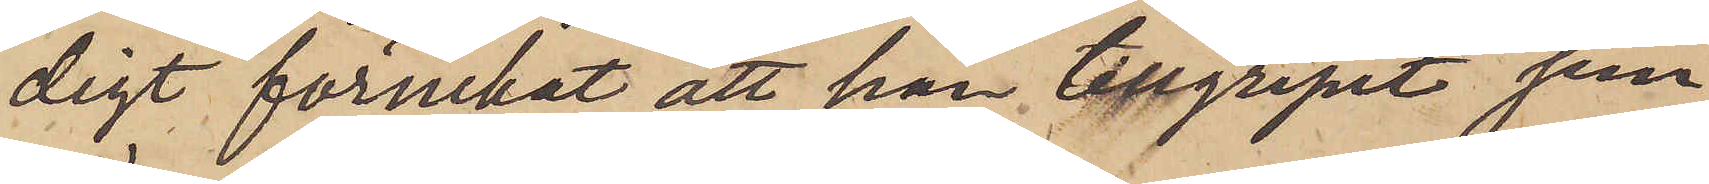digt förnekat att han tillgripit jem¬
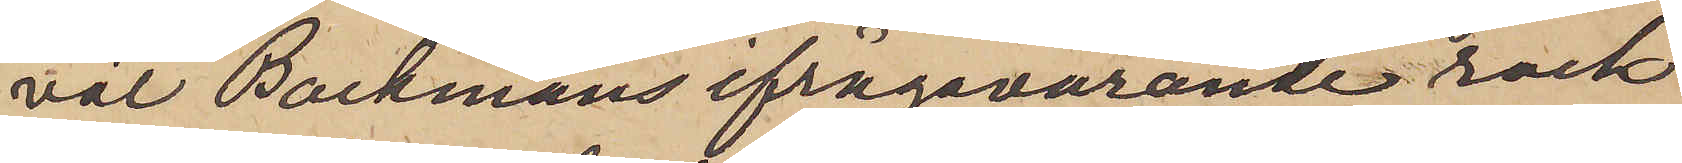väl Backmans ifrågavarande rock,
